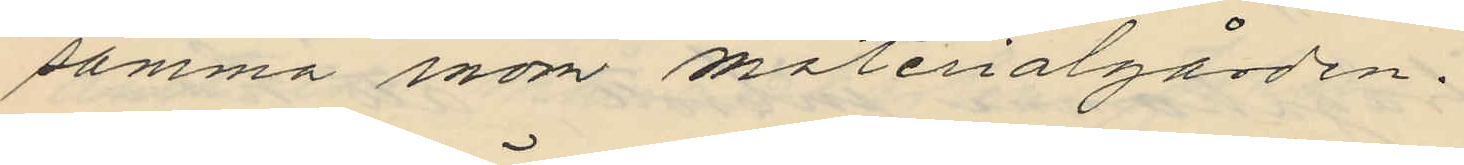samma inom materialgården.
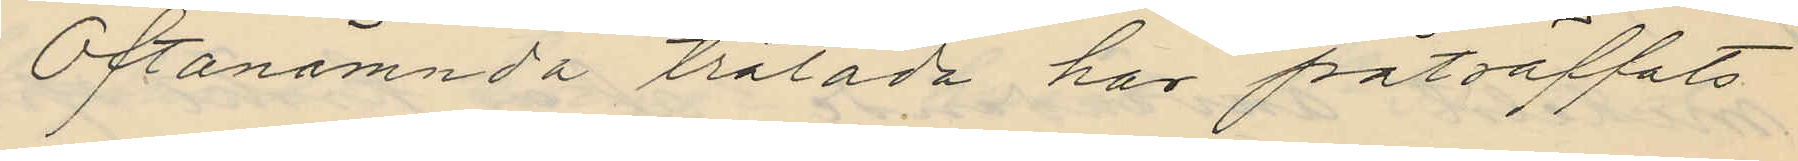Oftanämnda trälåda har påträffats
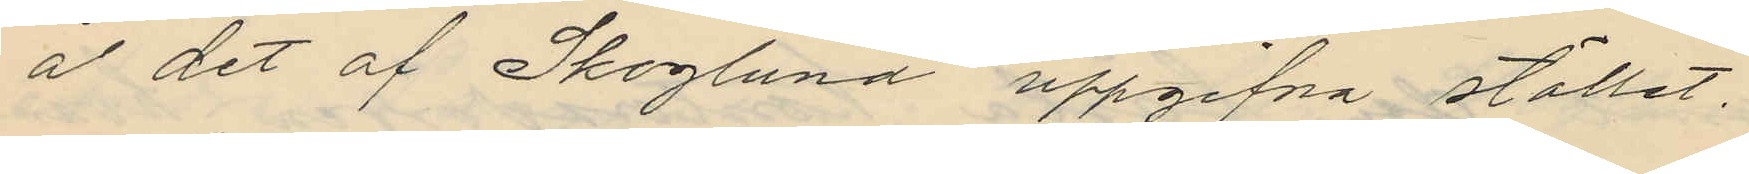å det af Skoglund uppgifna stället.
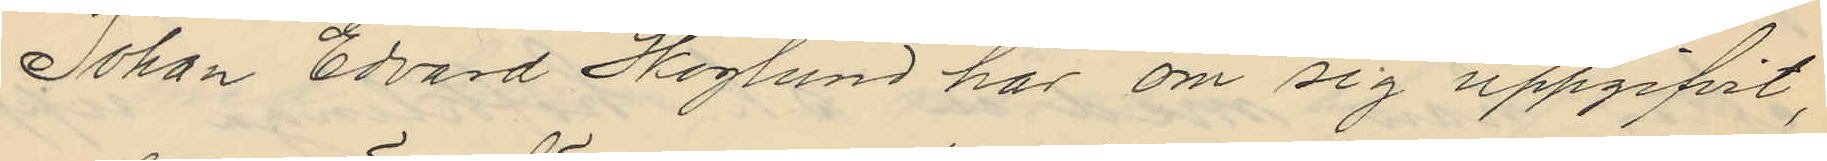Johan Edvard Skoglund har om sig uppgifvit,
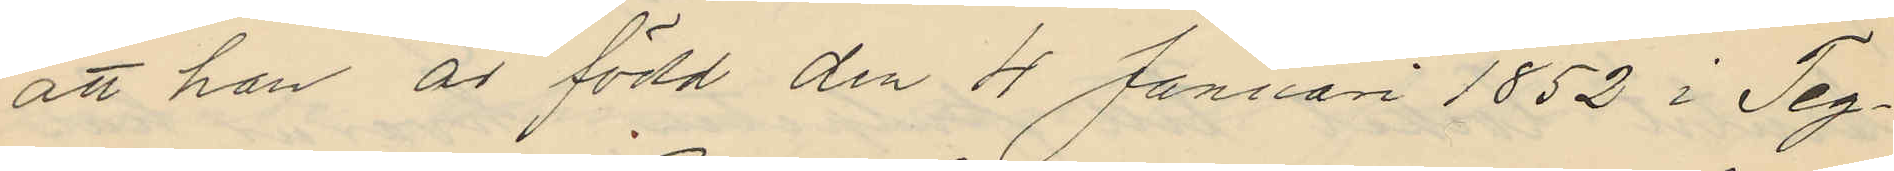att han är född den 4 Januari 1852 i Teg¬
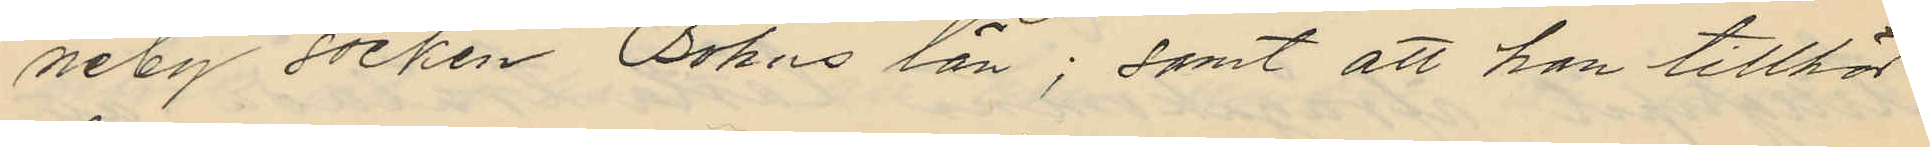neby socken Bohus län; samt att han tillhör
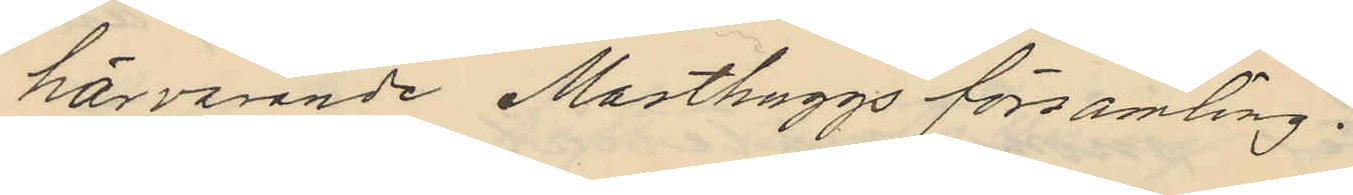härvarande Masthuggs församling.
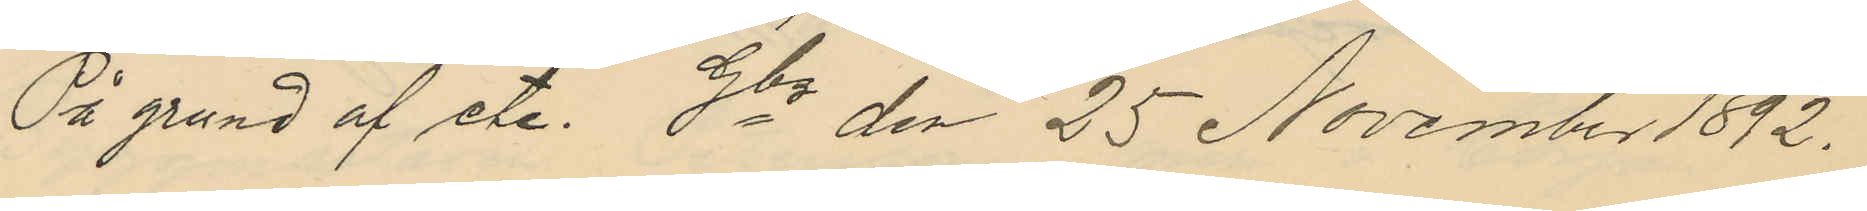På grund etc. Gbg den 25 November 1892.
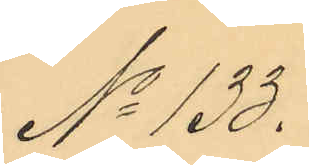No 133.
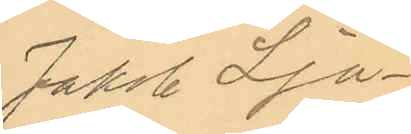Jakob Lju¬
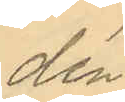dén
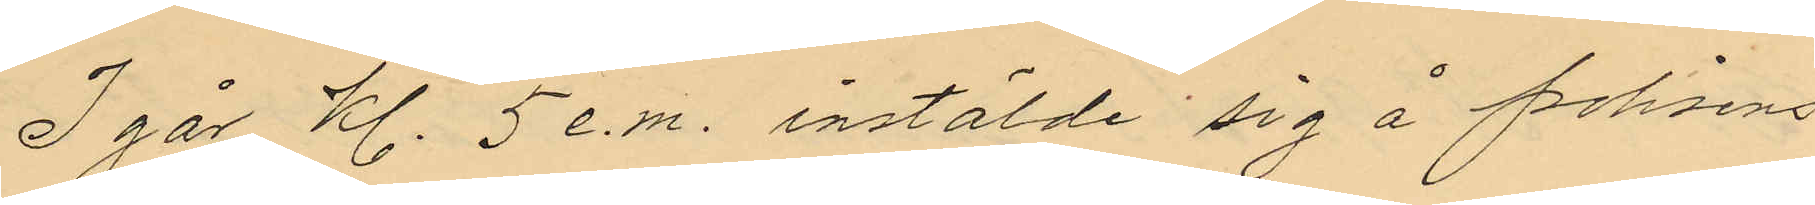I går kl. 5 e.m. instälde sig å polisens
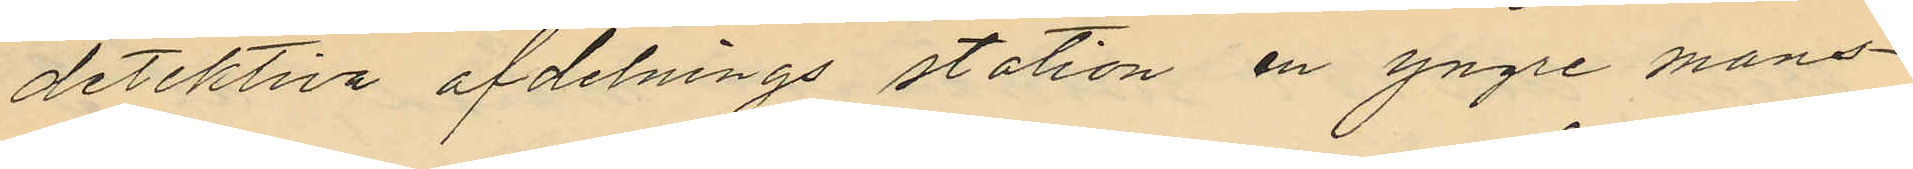detektiva afdelnings station en yngre mans¬
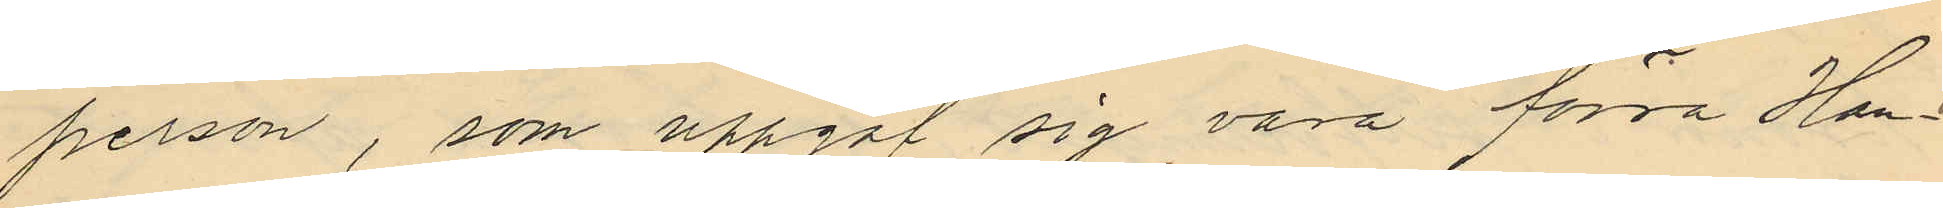person, som uppgaf sig vara förra Han¬
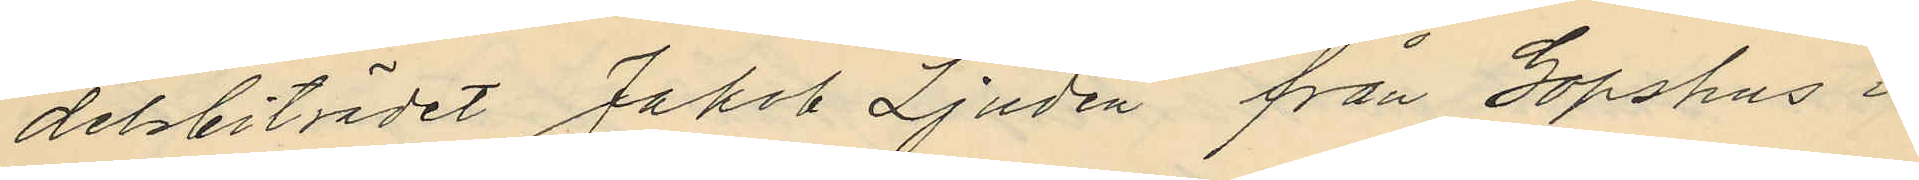delsbiträdet Jakob Ljudén från Gopshus i
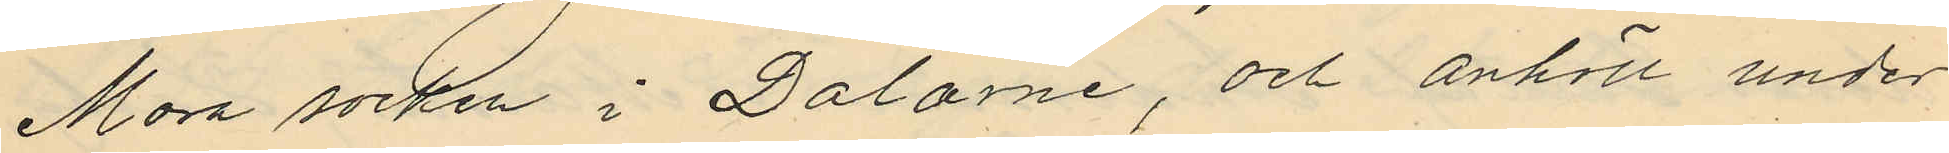Mora socken i Dalarne, och anhöll under
